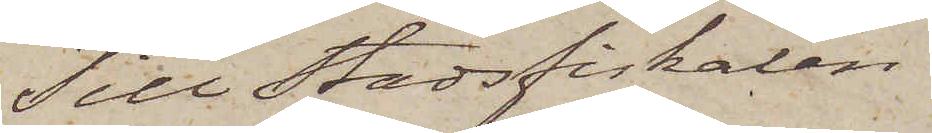Till Stadsfiskalen
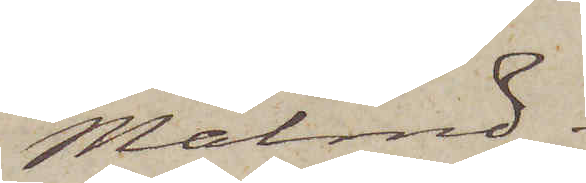Malmö.
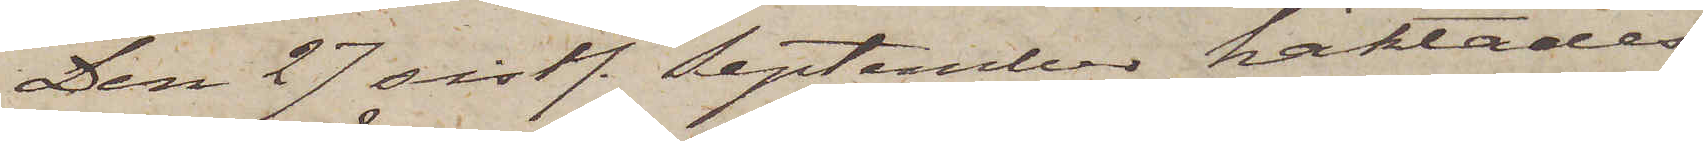Den 27 sistl. September häktades
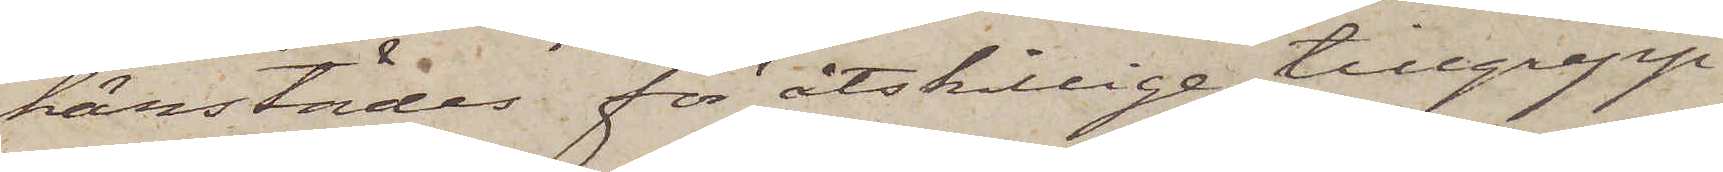härstädes för åtskillige tillgrepp
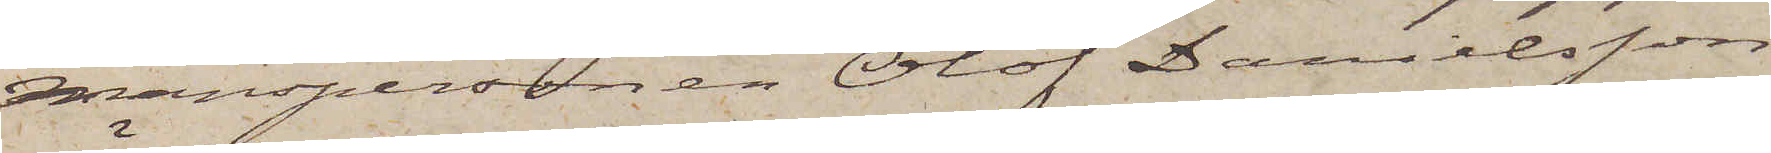manspersonen Olof Danielsson
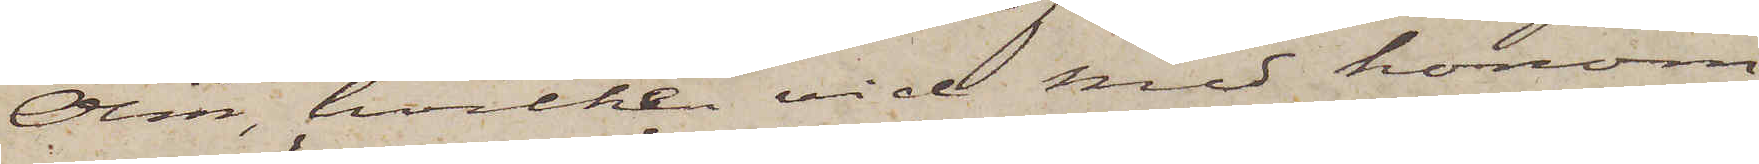Ölin, hvilken vid med honom
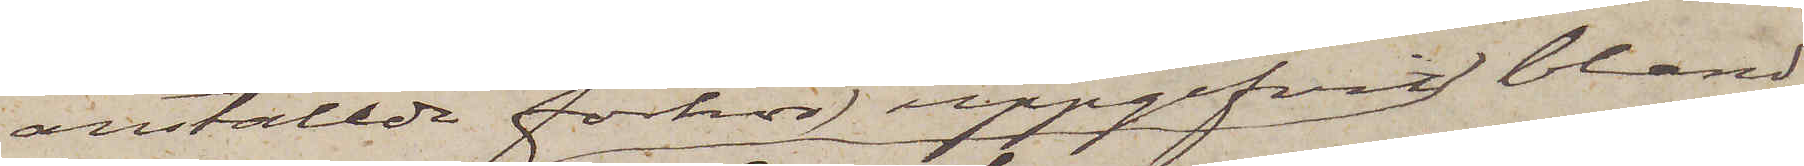anställda förhör uppgifvit bland
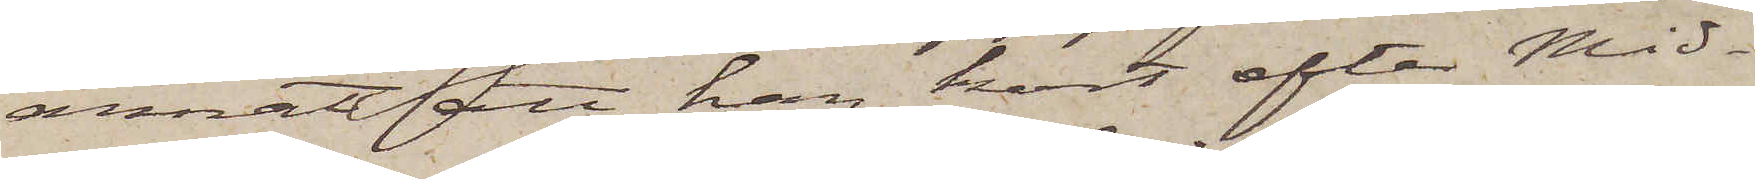annat att han kort efter Mid¬
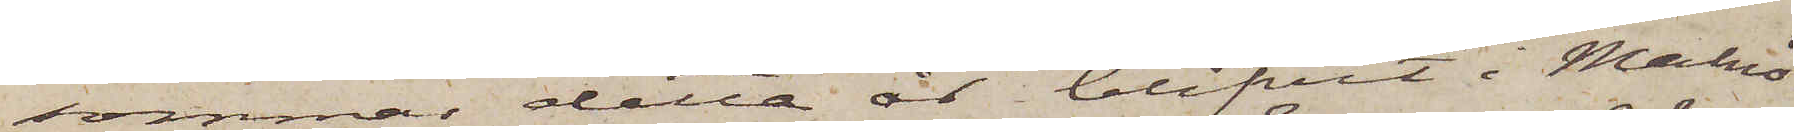sommar detta år blifvit i Malmö
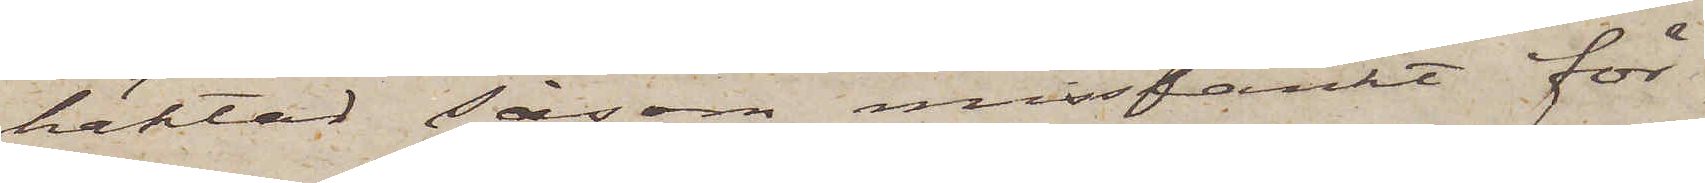häktad såsom misstänkt för
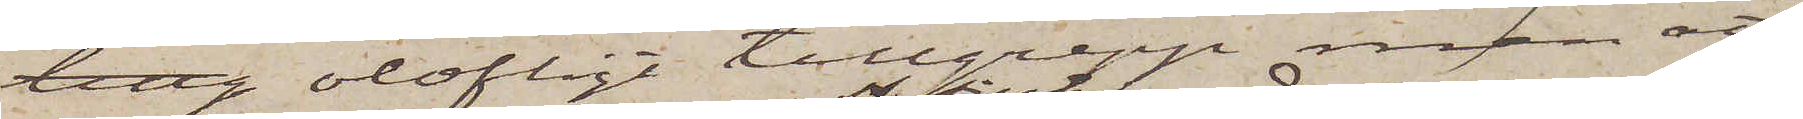tillg olofligt tillgrepp men att
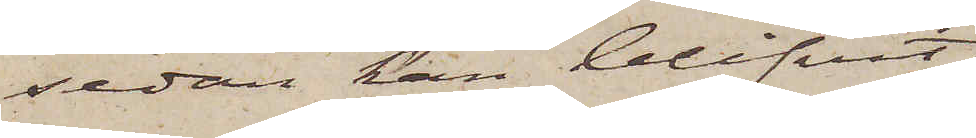sedan han blifvit
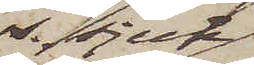ss. sjuk
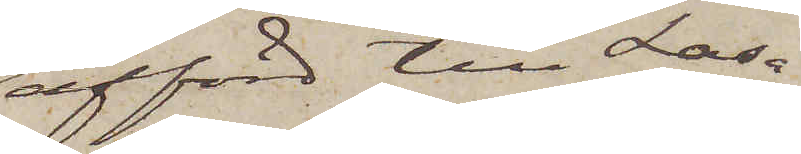afförd till Lasa¬
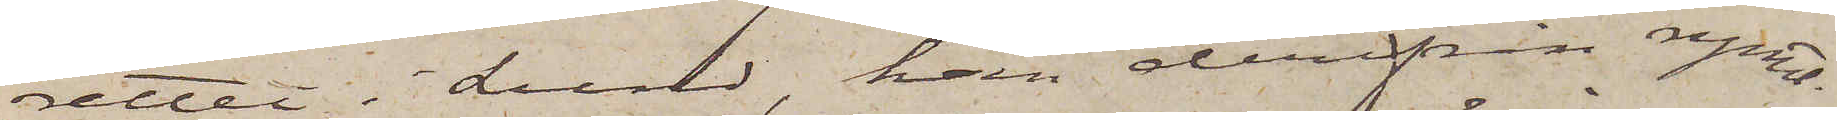rettet i Lund, han derifrån rymt.
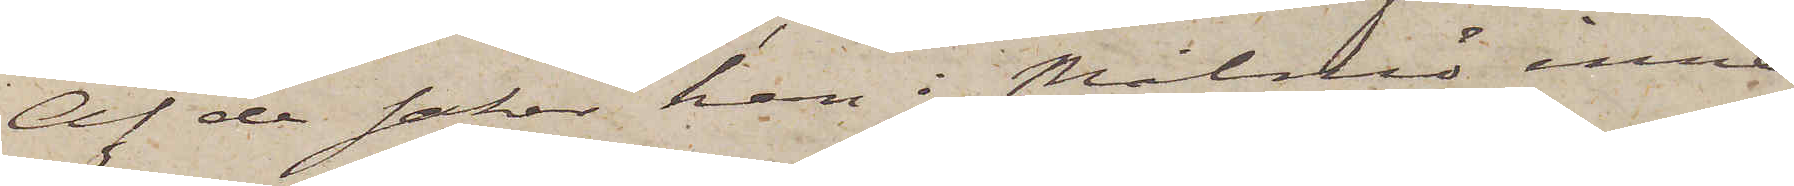Af de saker han i Malmö inne¬
